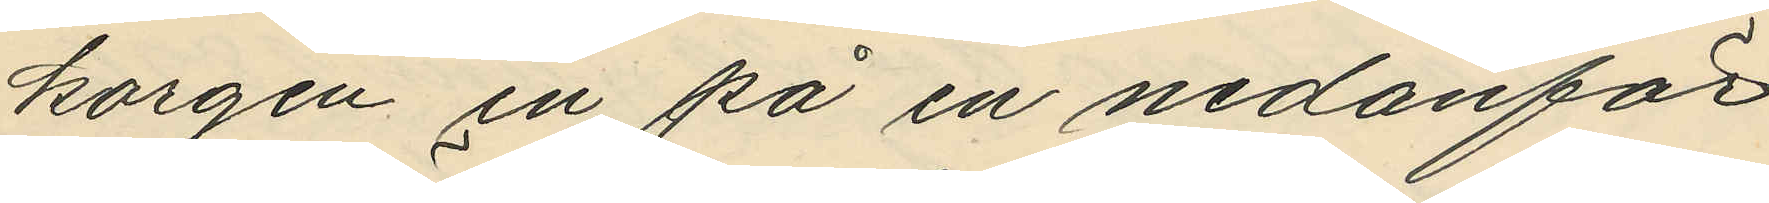korgen in på en nedanför
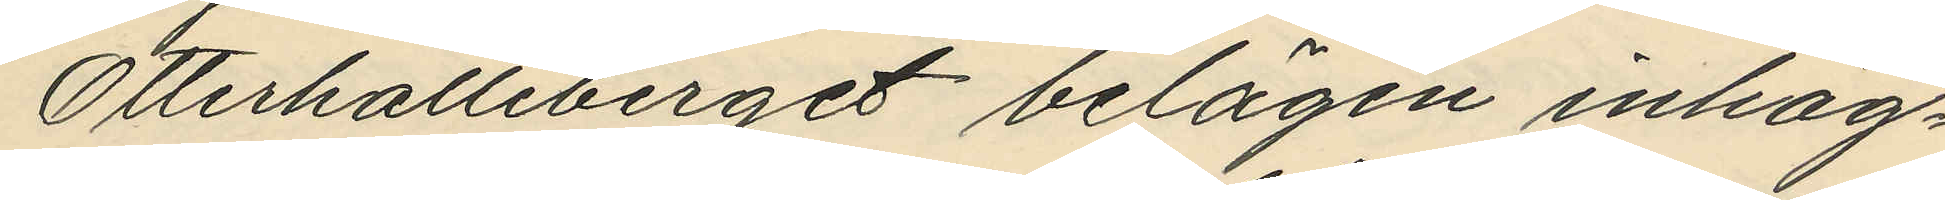Otterhälleberget belägen inhäg¬
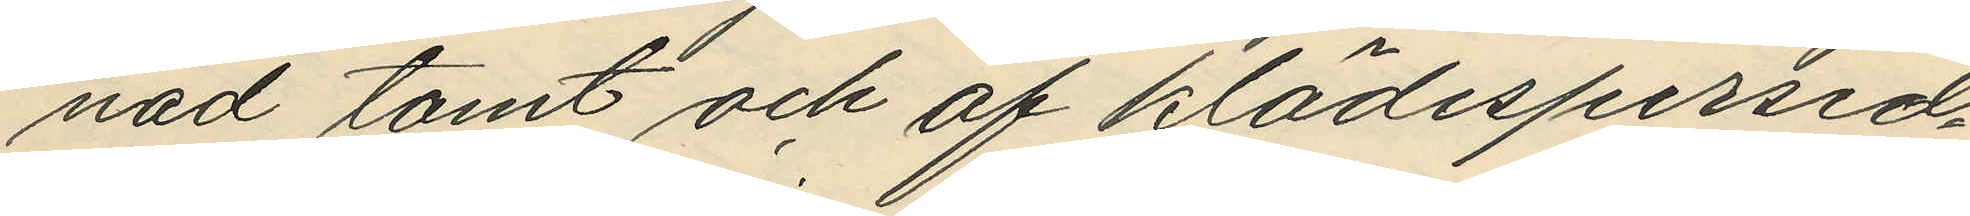nad tomt och af klädespersed¬
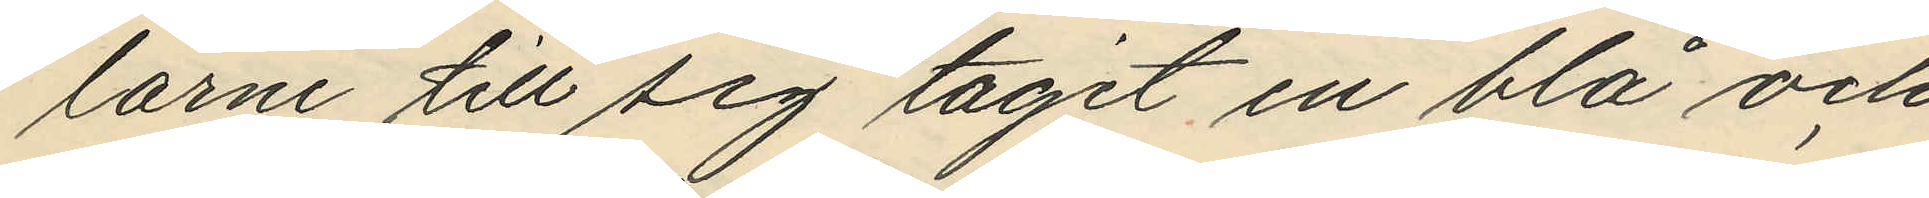larne till sig tagit en blå och
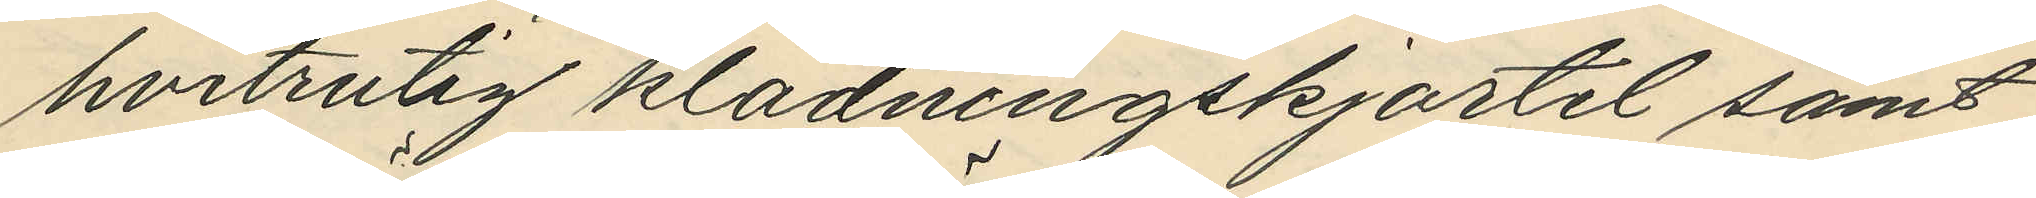hvitrutig klädningskjortel samt
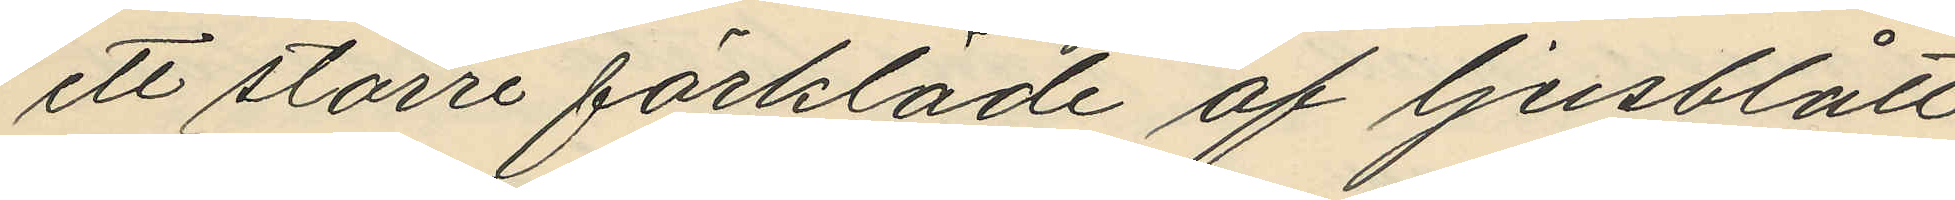ett större förkläde af ljusblått
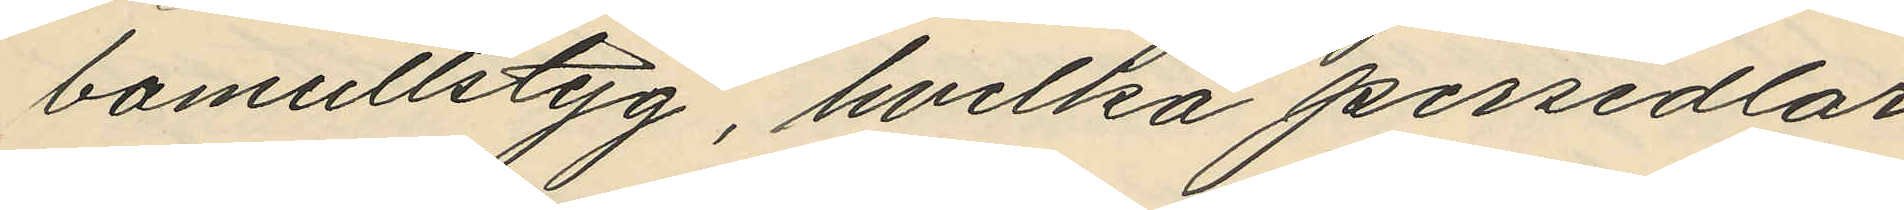bomullstyg, hvilka persedlar,
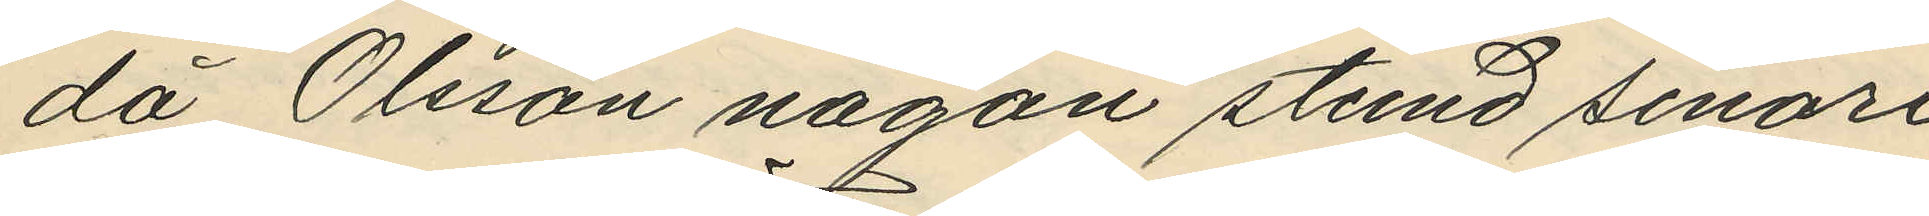då Olsson någon stund senare
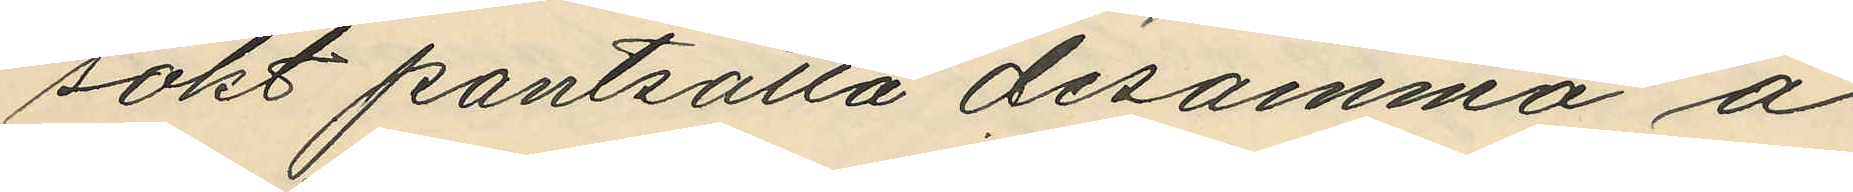sökt pantsätta desamma å
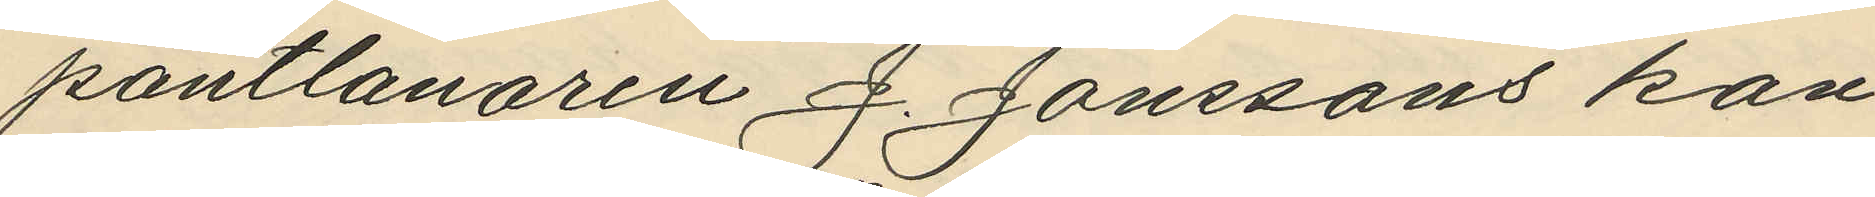pantlånaren J. Jonssons kon¬
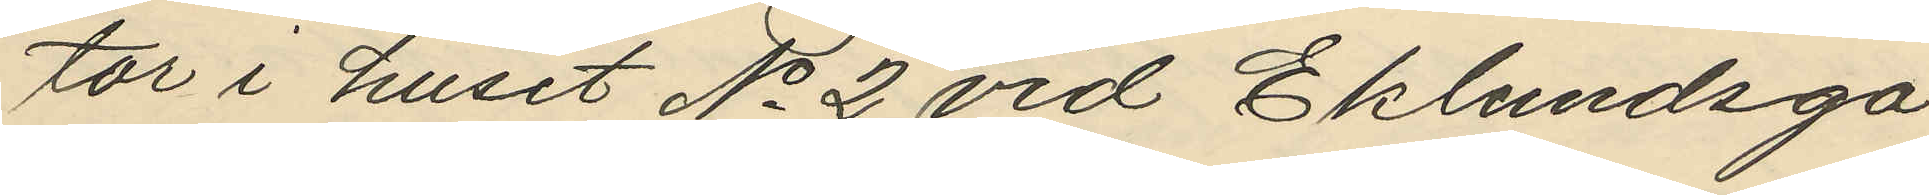tor i huset No 2 vid Eklundsga¬
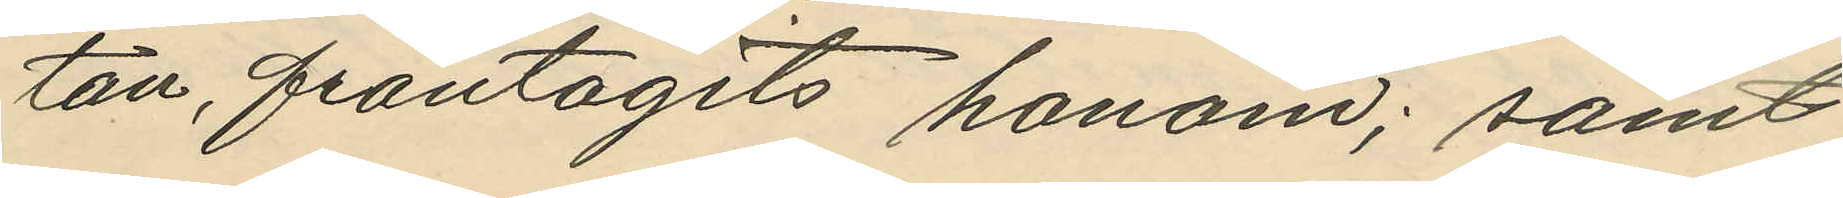tan, fråntagits honom; samt
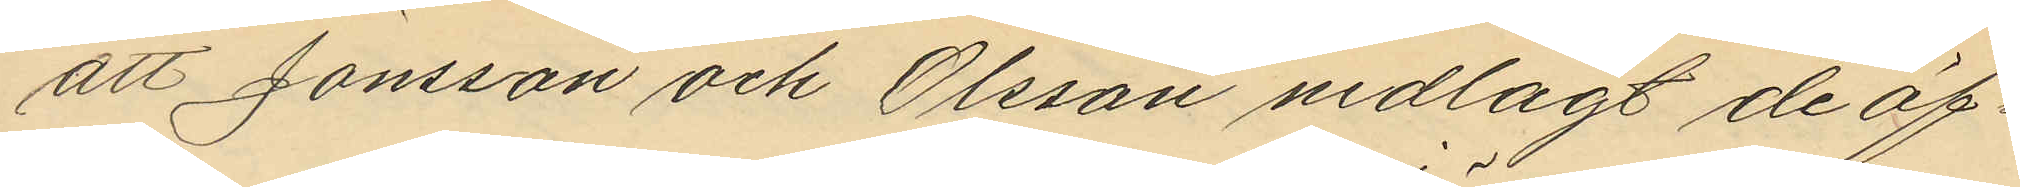att Jönsson och Olsson nedlagt de öf¬
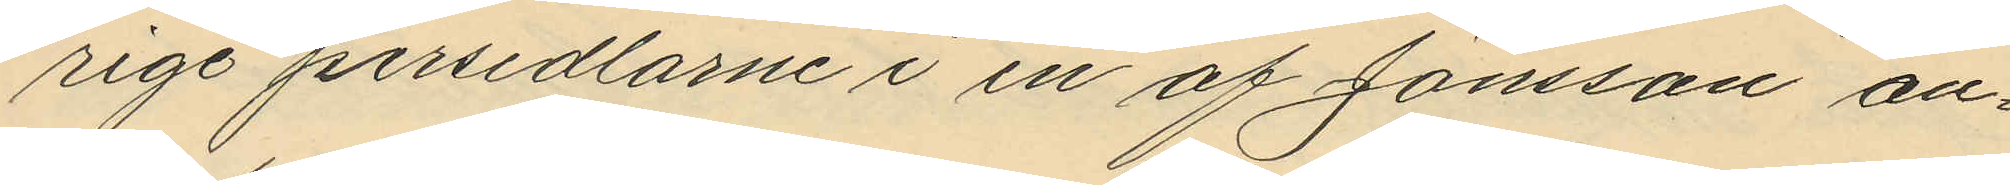rige persedlarne i en af Jönsson an¬
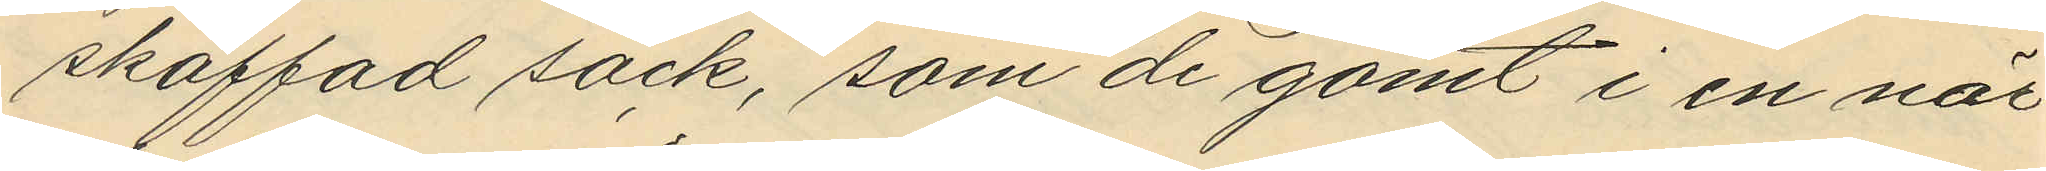skaffad säck, som de gömt i en när¬
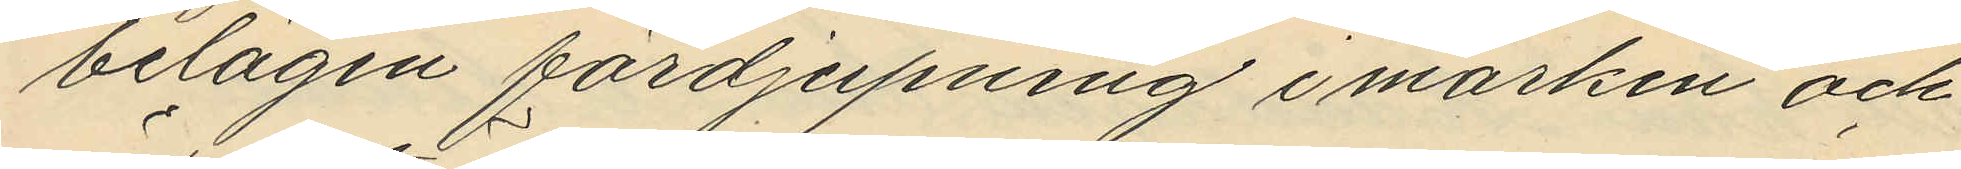belägen fördjupning i marken och
